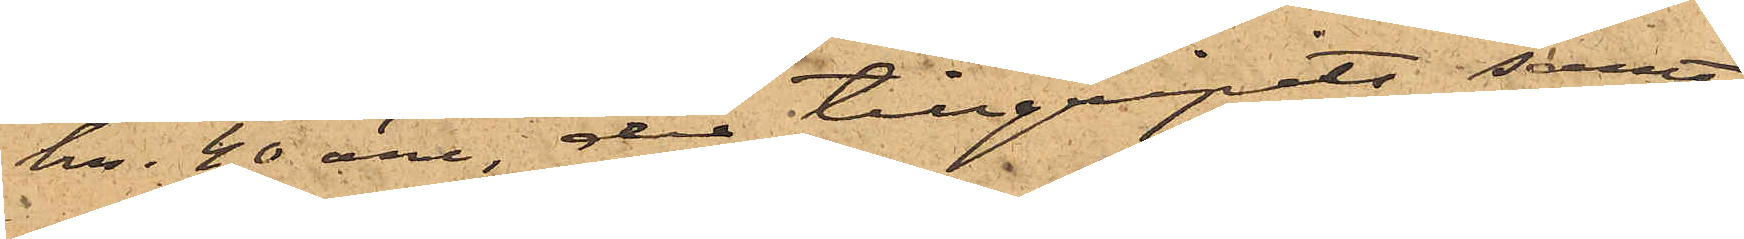kr. 20 öre der tillgripits samt
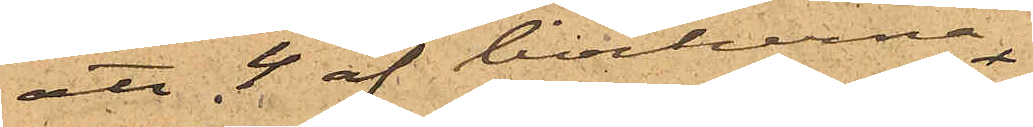att 4 af böckerna
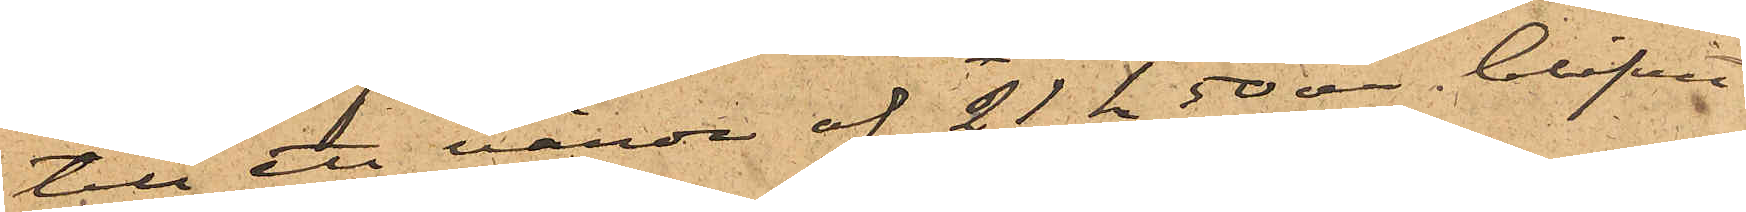till ett värde af 21 kr 50 öre blifvit
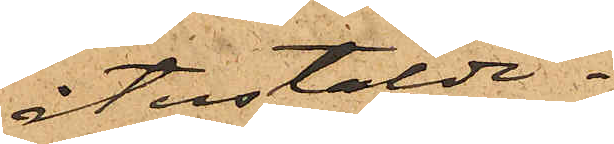återstälde.
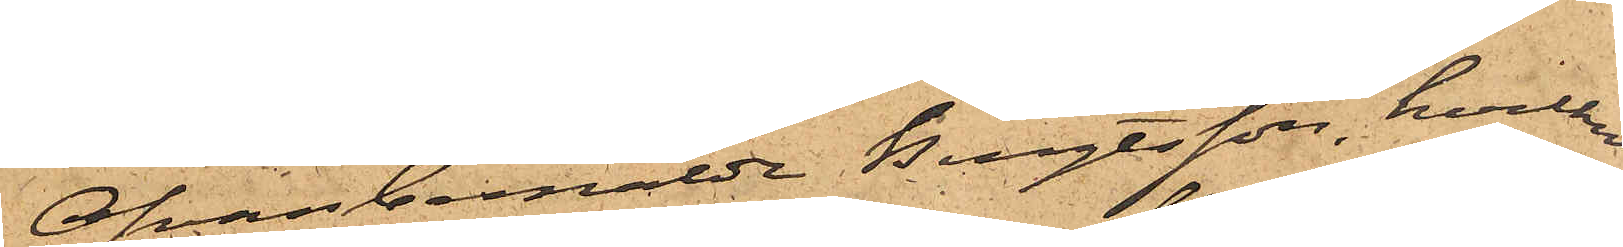Ofvanbemälde Bengtsson, hvilken
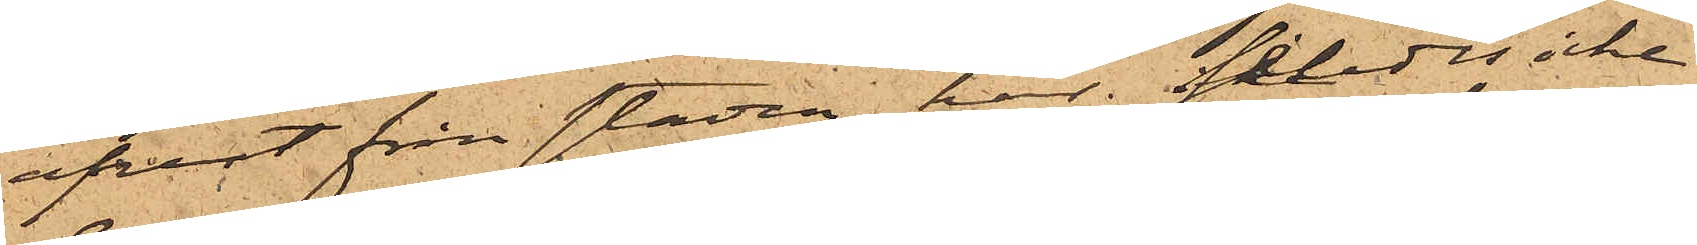afrest från staden, har således icke
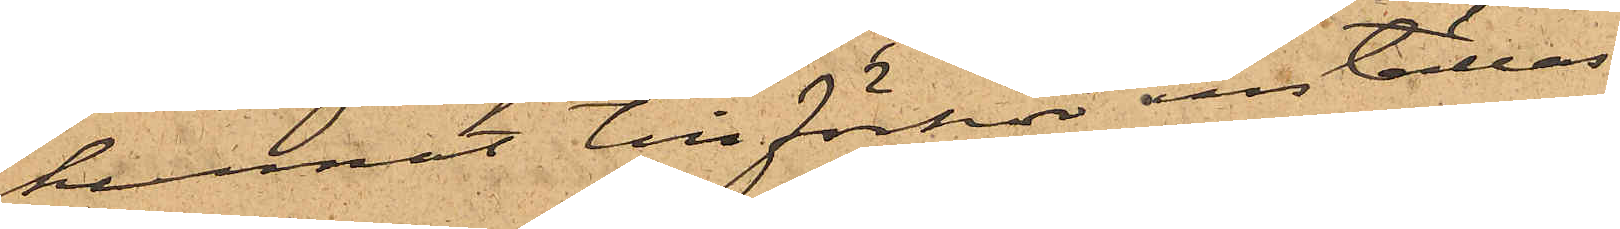kunnat till förhör inställas.
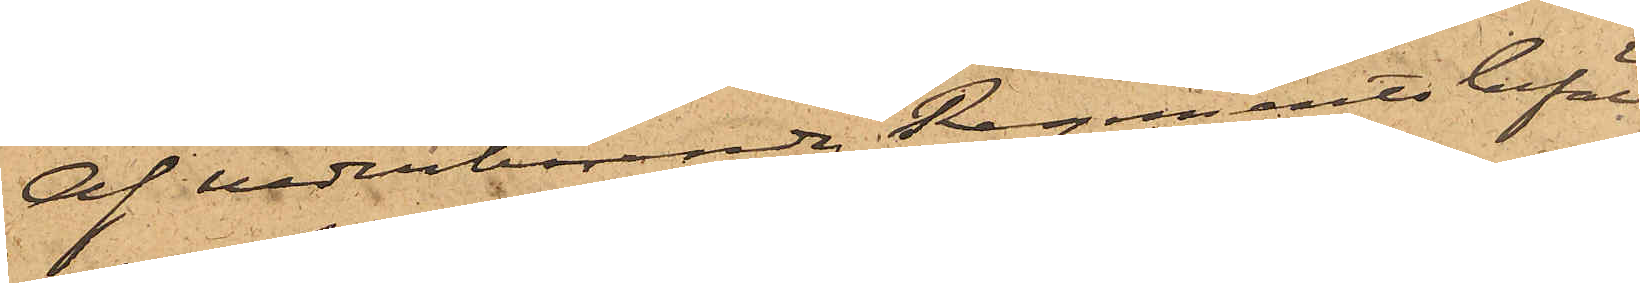Af vederbörande Regements befäl
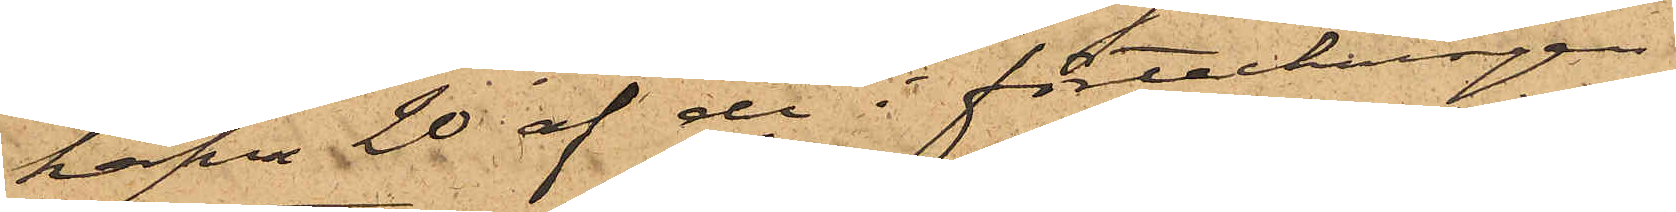hafva 20 af de i förteckningen
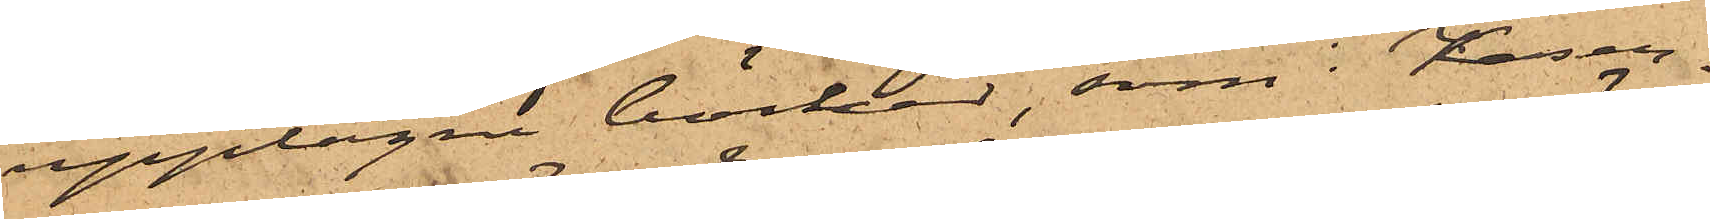upptagna böcker, som i Kaser¬
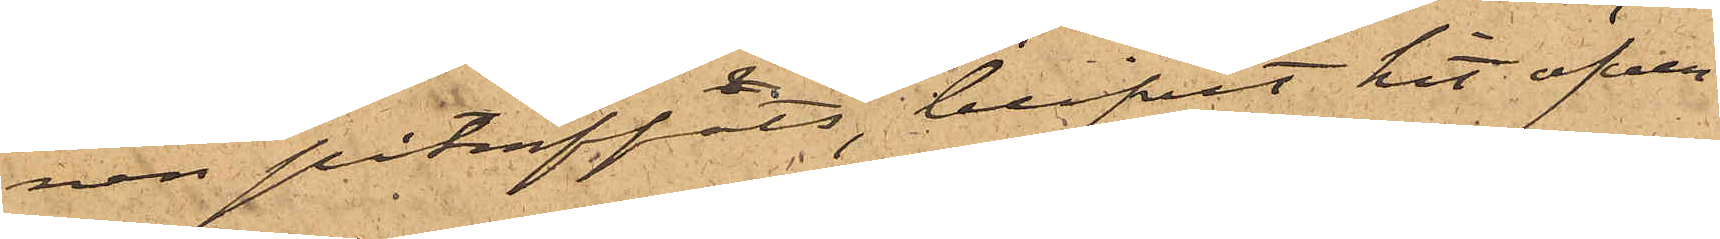nen påträffats, blifvit hit öfver¬
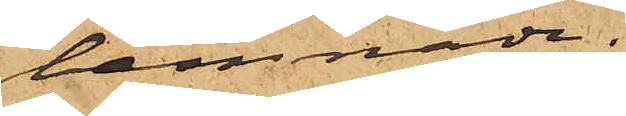lemnade.
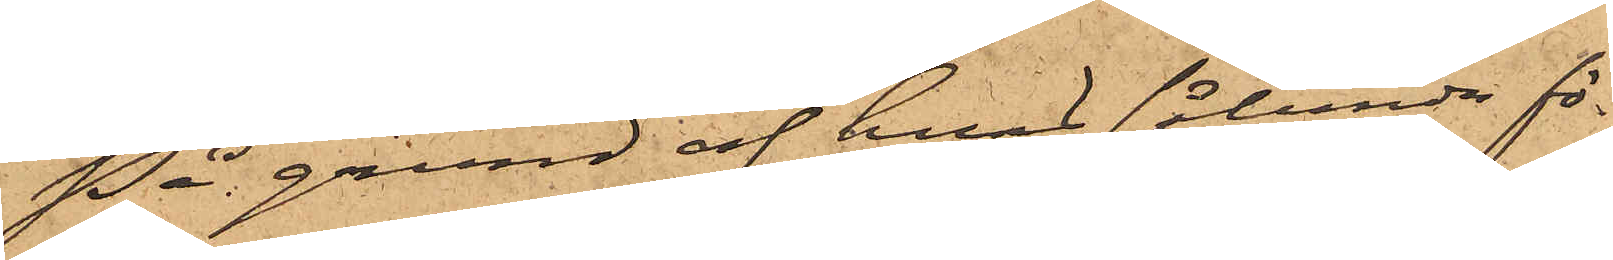På grund af hvad sålunda fö¬
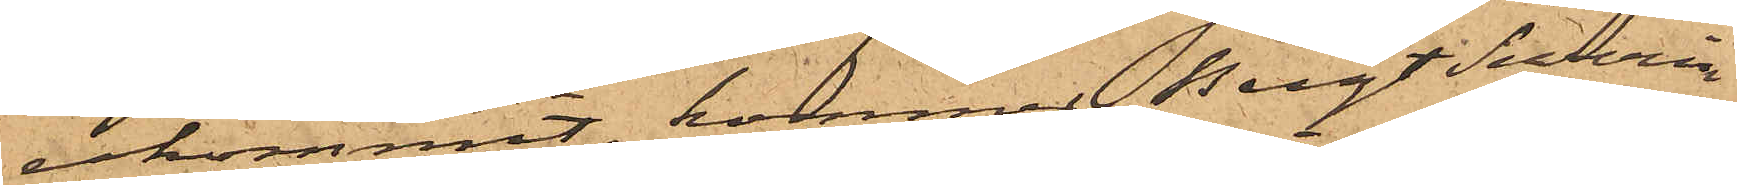rekommit, kommer Bengt Severin
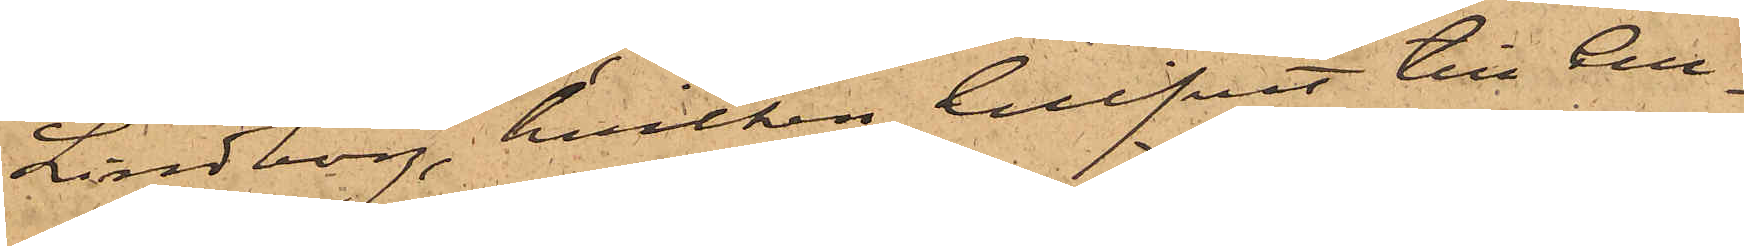Lindborg, hvilken blifvit till Cell¬
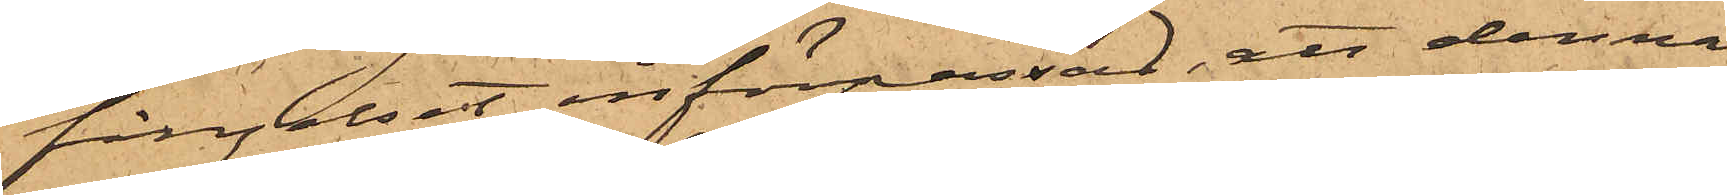fängelset införpassad, att denna
